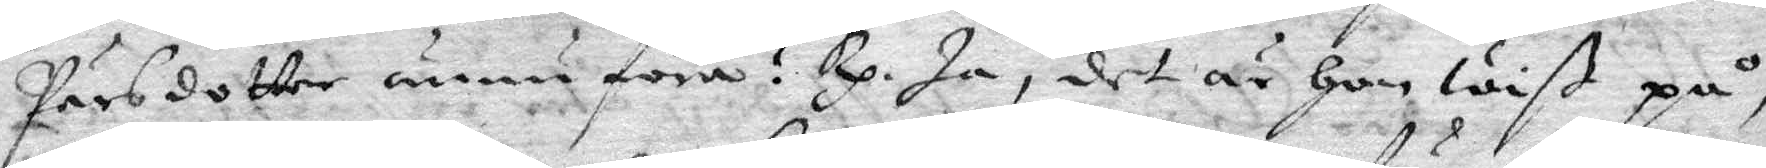Pärsdotter ännu föra? Rp. Ja, det är Hon wiß på,
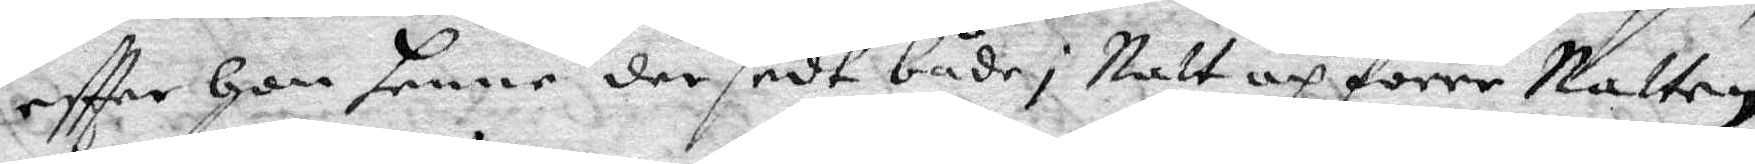eftter Hon henne der sedt både i Natt och förre Natten,
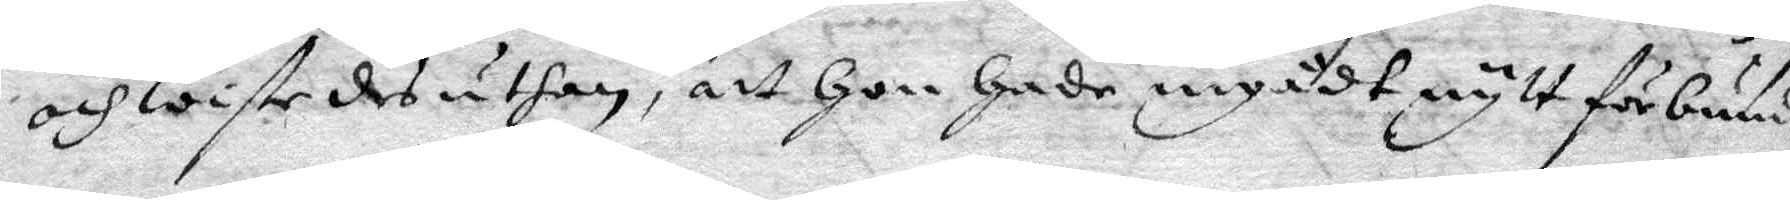och wiste desuthan, att Hon Hade ingådt nytt förbund
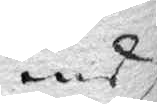medh
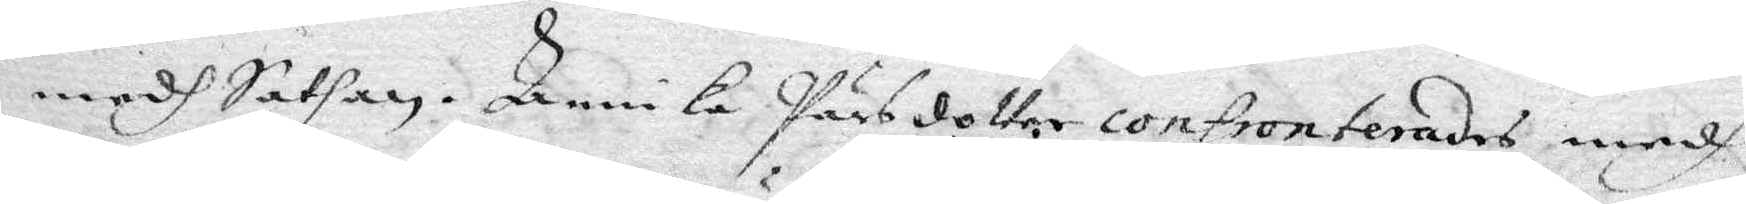medh Sathan. Annika Pärsdotter confronterades medh
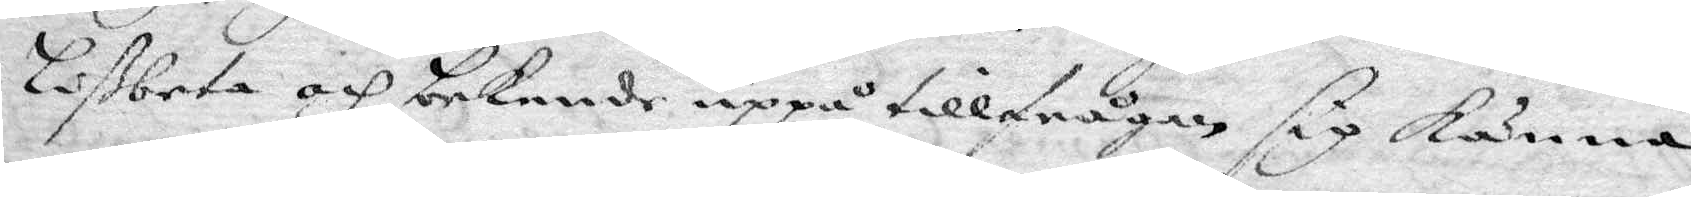Lißbeta och bekende uppå tillfrågan sig känna
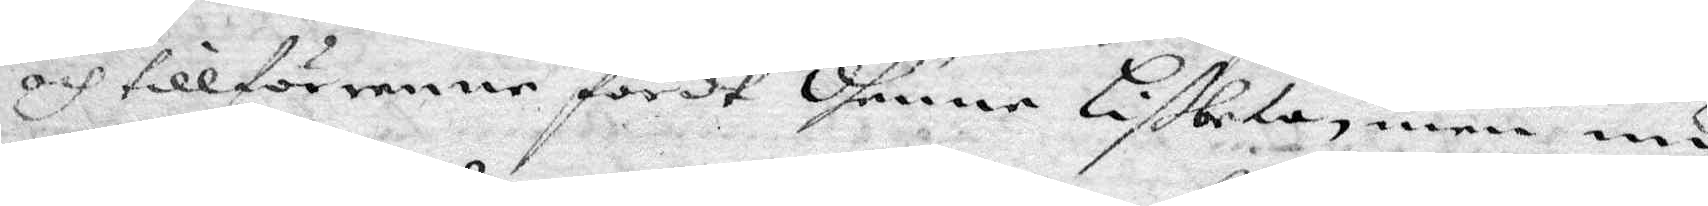och tillförene fördt dhenne Lißbeta men nu
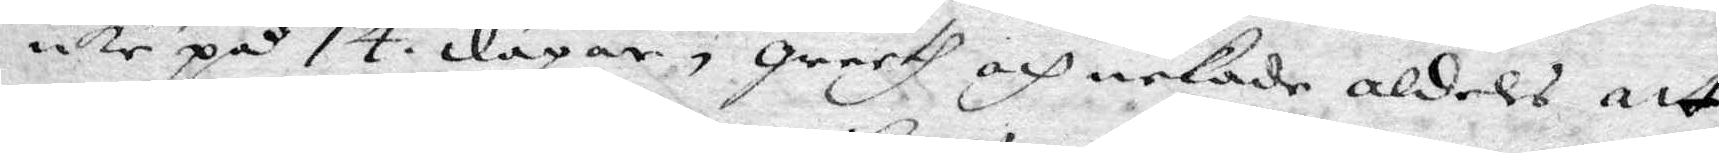icke på 14 dagar, qrerth och nekade aldeles att
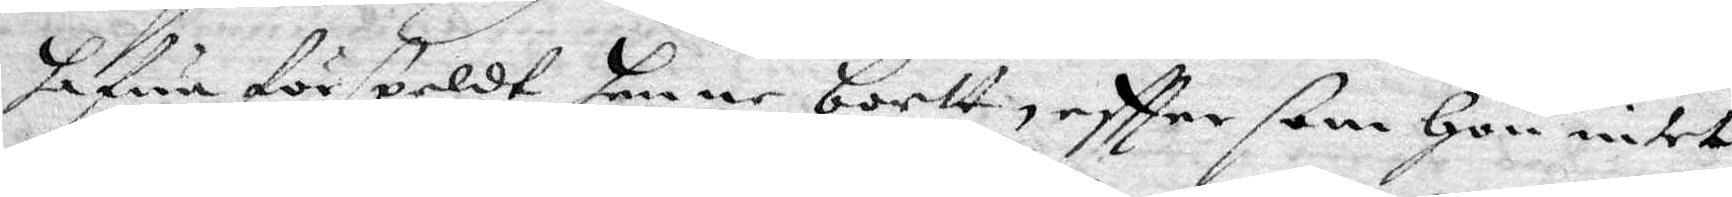hafua förspeldt henne bortt, eftter som Hon intet
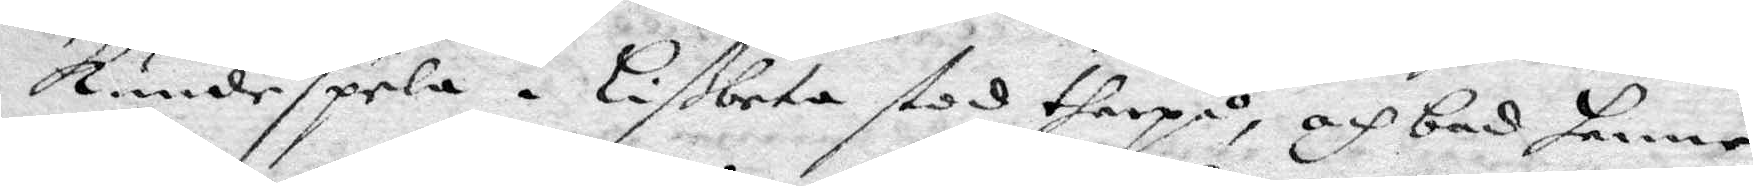kunde spela. Lißbeta stod therpå, och bad henne
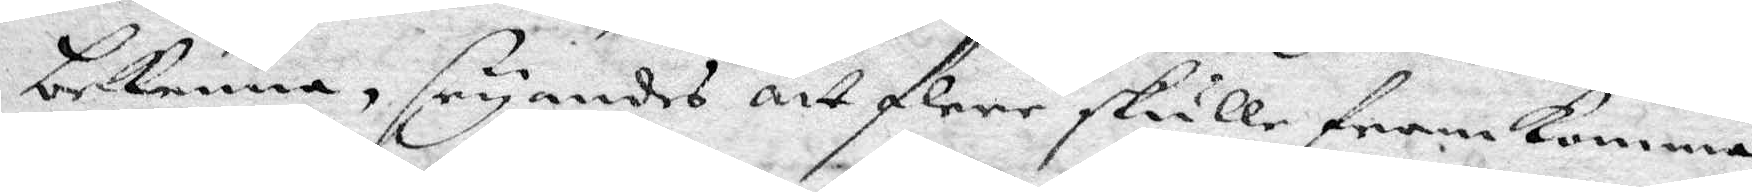bekenna, seyandes att flere skulle framkomma
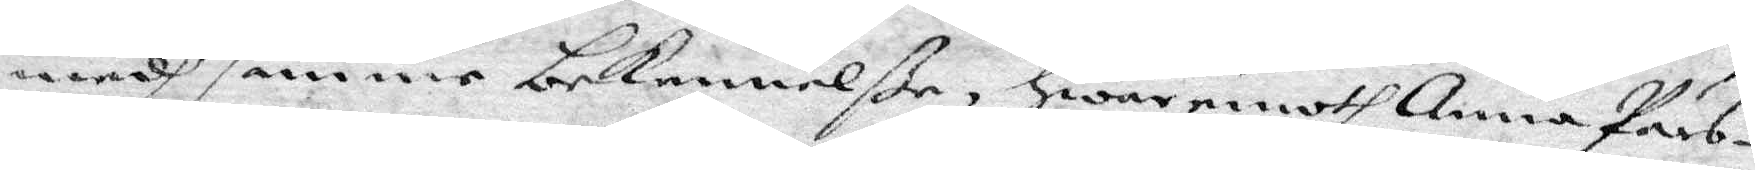medh samme bekennelße, Hwaremoth Anna Pärs¬
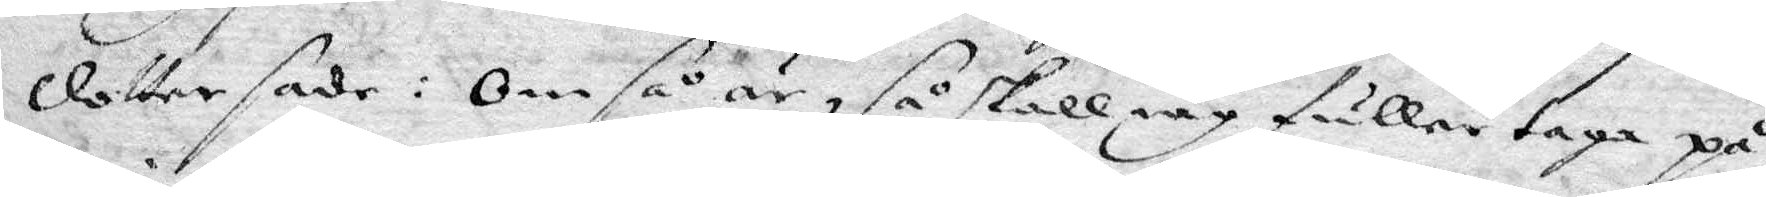dotter sade: Om så är, så skall iag fuller taga på
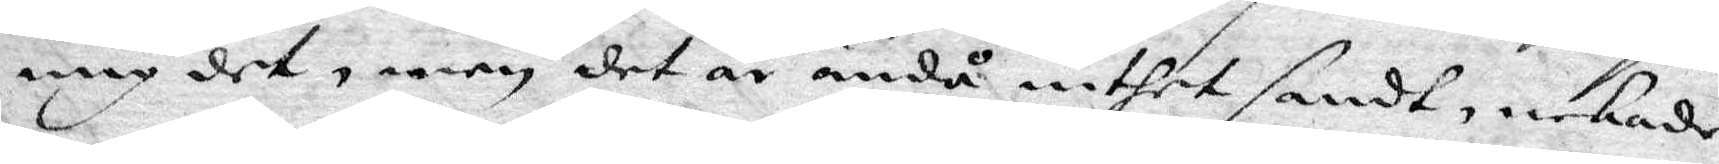mig det, men det är ändå inthet sandt, nekade
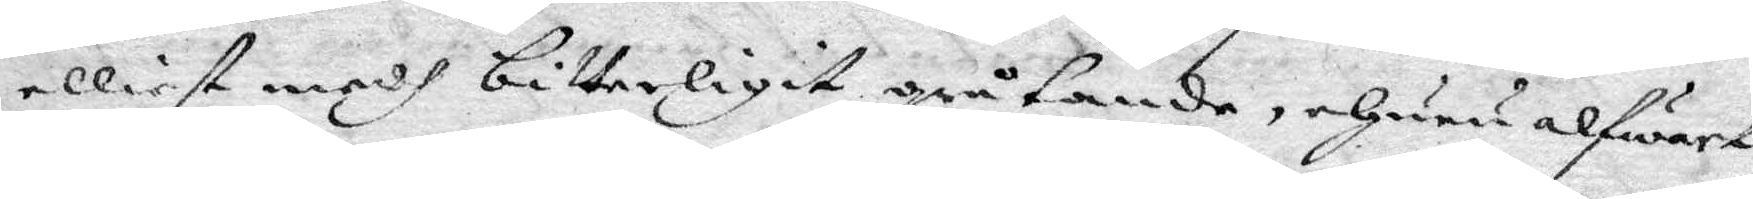elliest medh bitterligit gråtande, ehuru alfwart
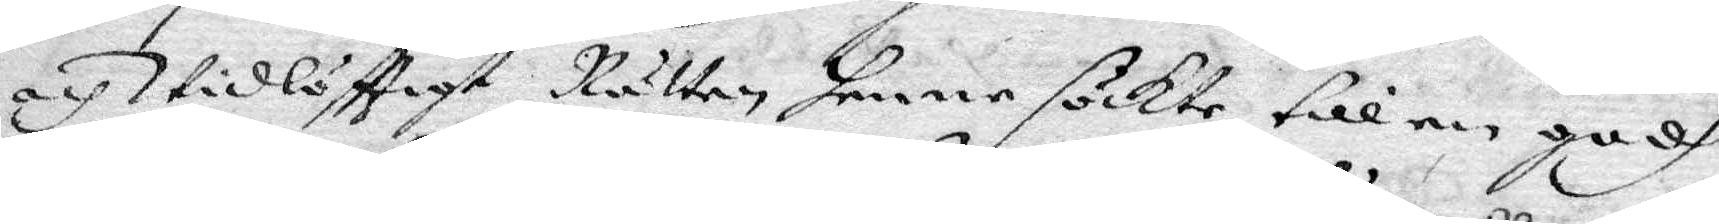och widlöfttigt Rätten henne sökte till en godh
